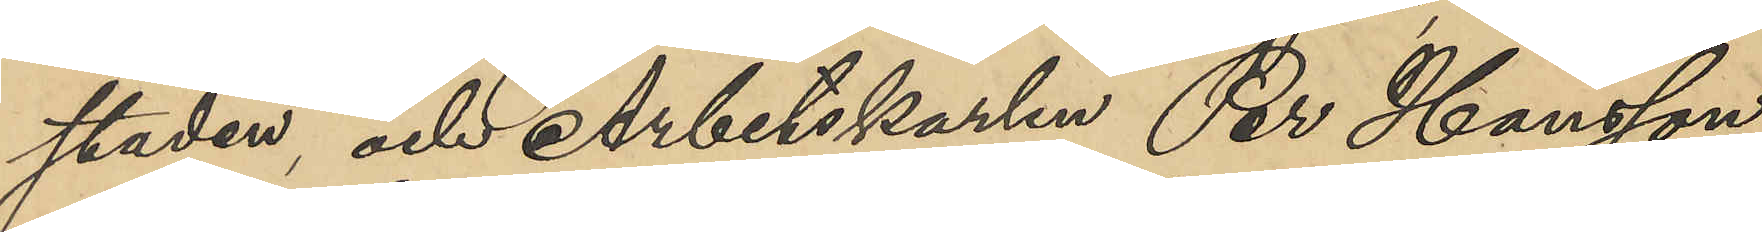staden, och Arbetskarlen Per Hansson
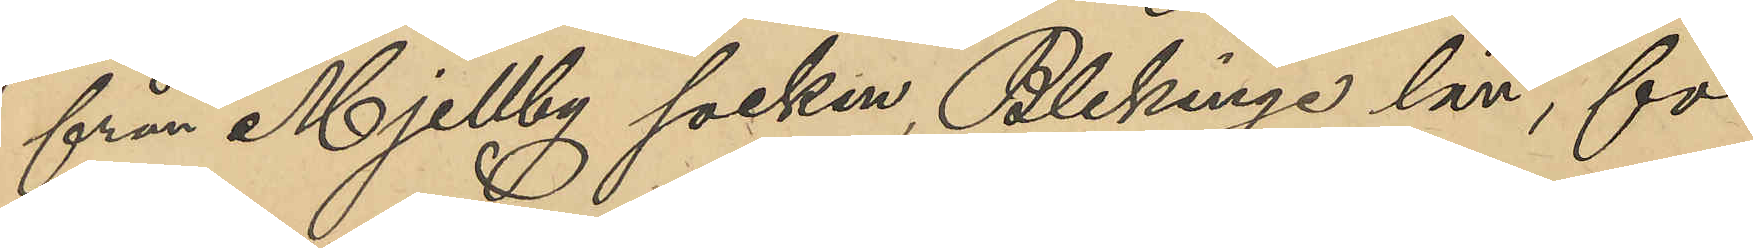från Mjellby socken, Blekinge län, för
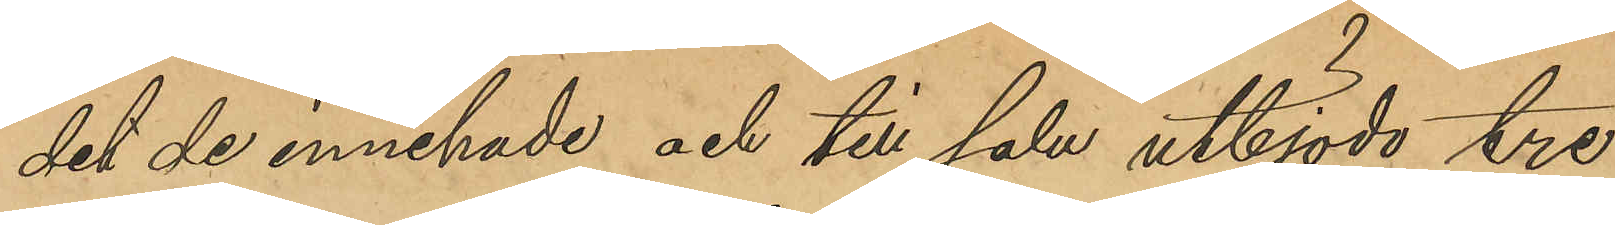det de innehade och till salu utbjödo tre
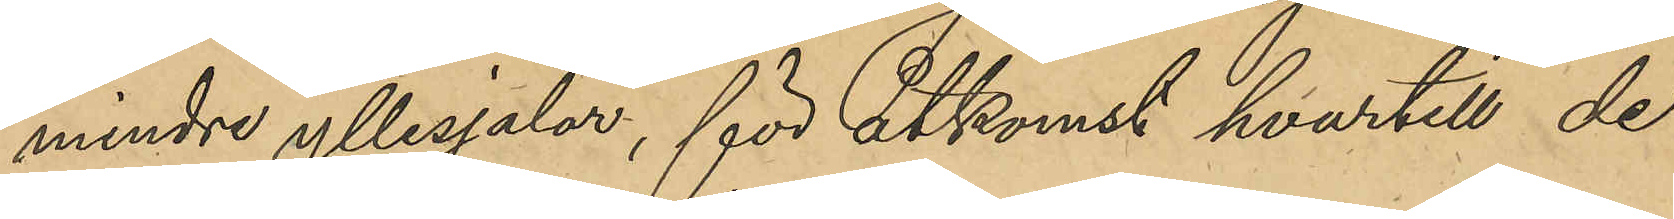mindre yllesjalar, för åtkomst hvartill de
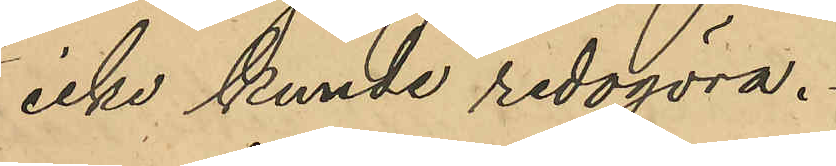icke kunde redogöra.
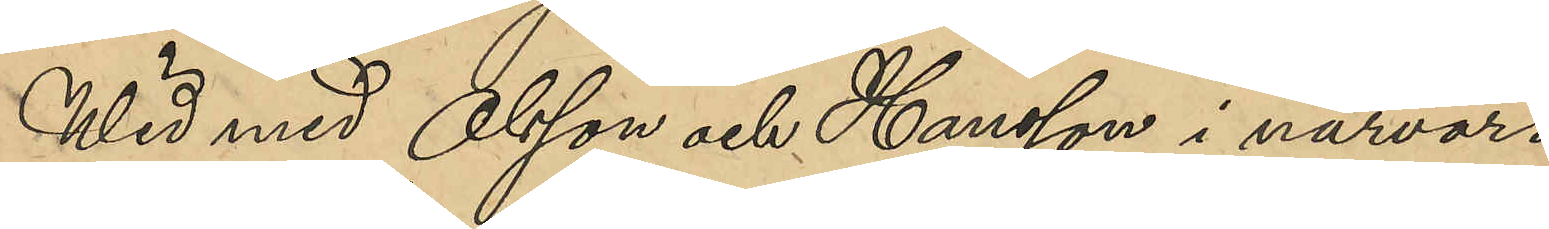Wid med Olsson och Hansson i närvaro
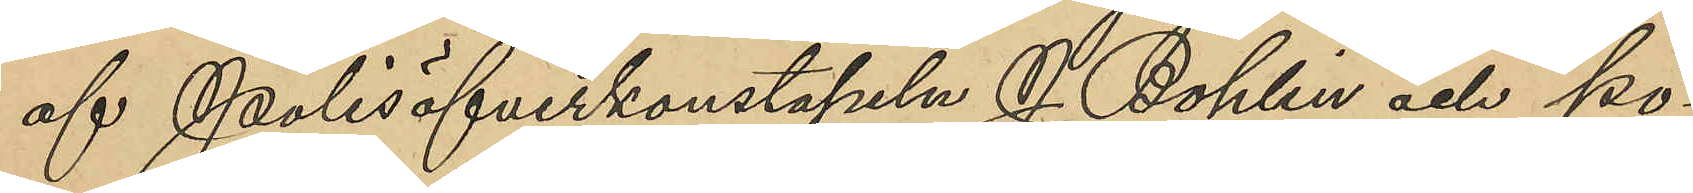af Polisöfverkonstapeln J. Bohlin och po¬
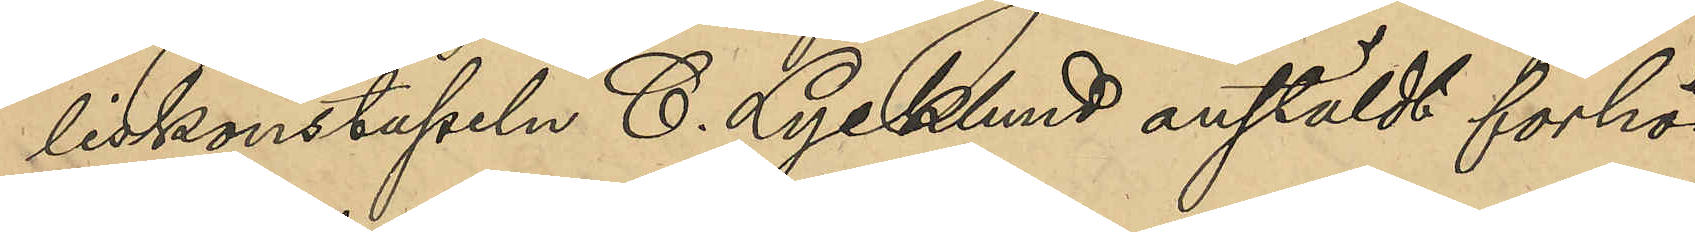liskonstapeln C. Lycklund anstäldt förhör
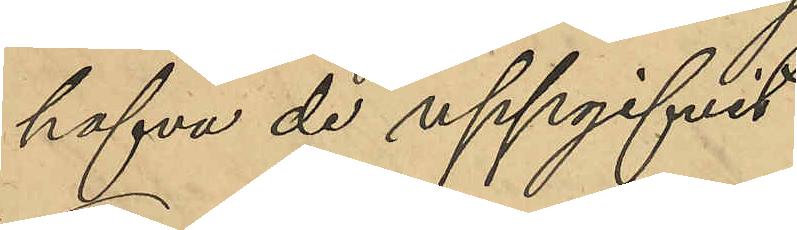hafva de uppgifvit:
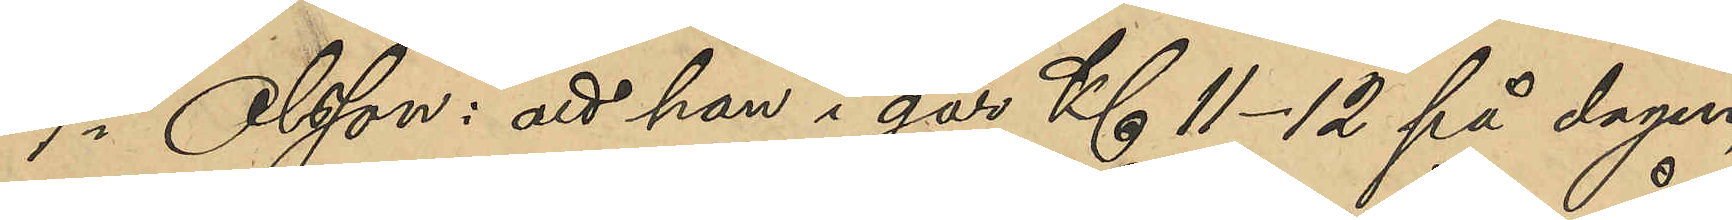1o Olsson: att han i går Kl 11-12 på dagen,
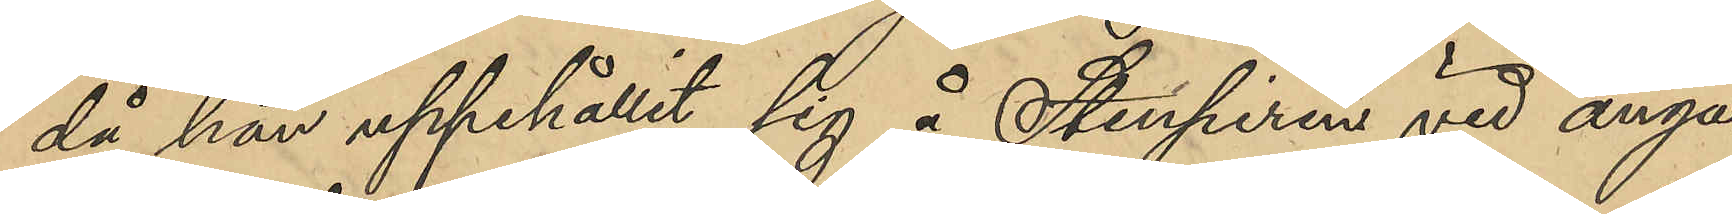då han uppehållit sig å Stenpiren vid ånga¬
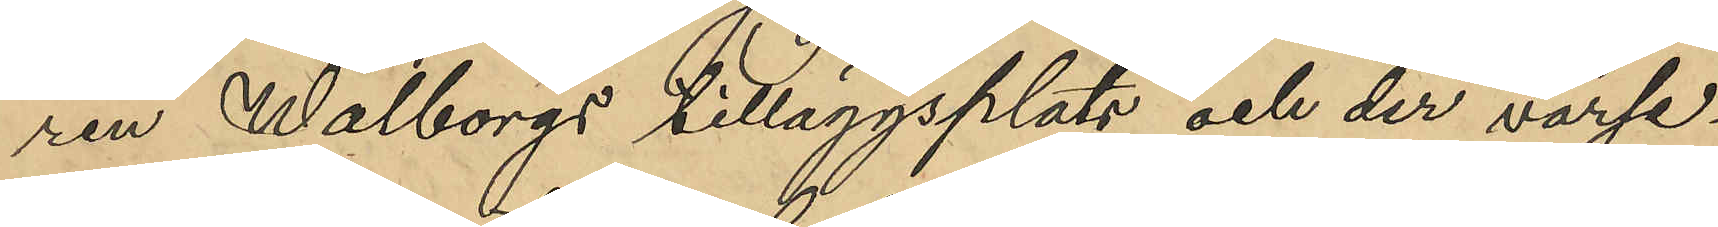ren Wahlborgs tilläggsplats och der varse¬
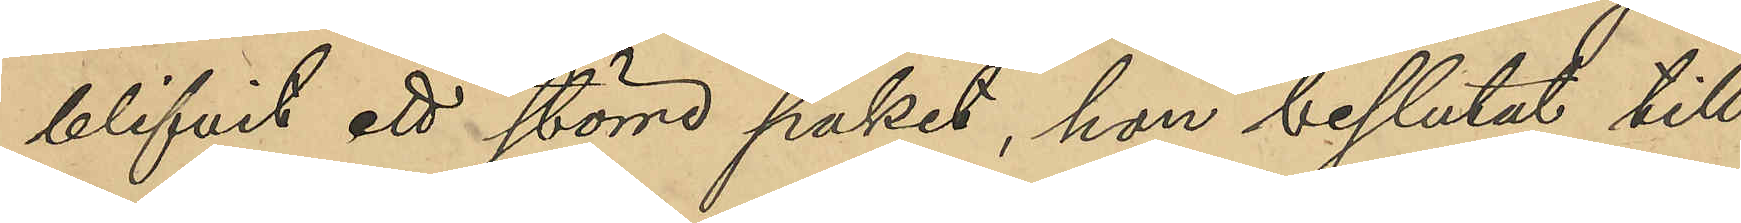blifvit ett större paket, han beslutat till¬
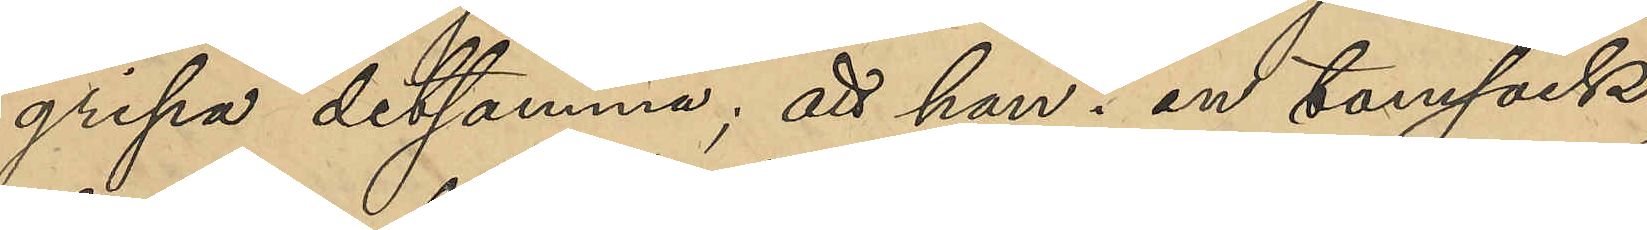gripa detsamma; att han i en tomsäck,
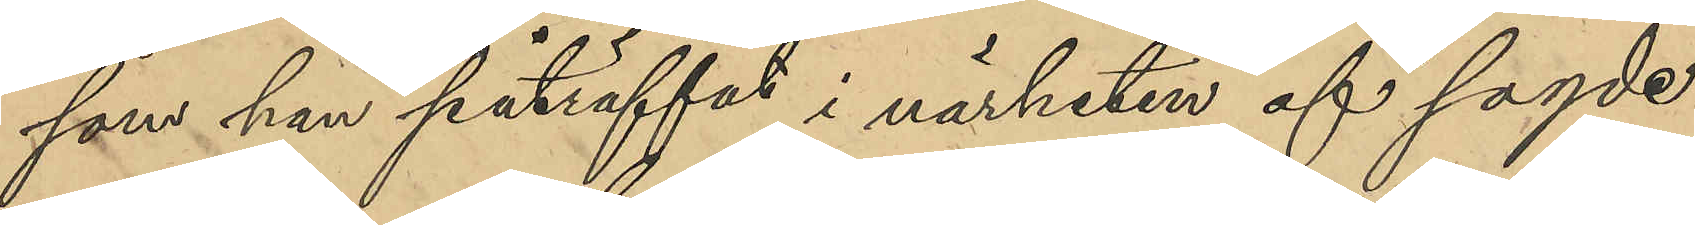som han påträffat i närheten af sagde
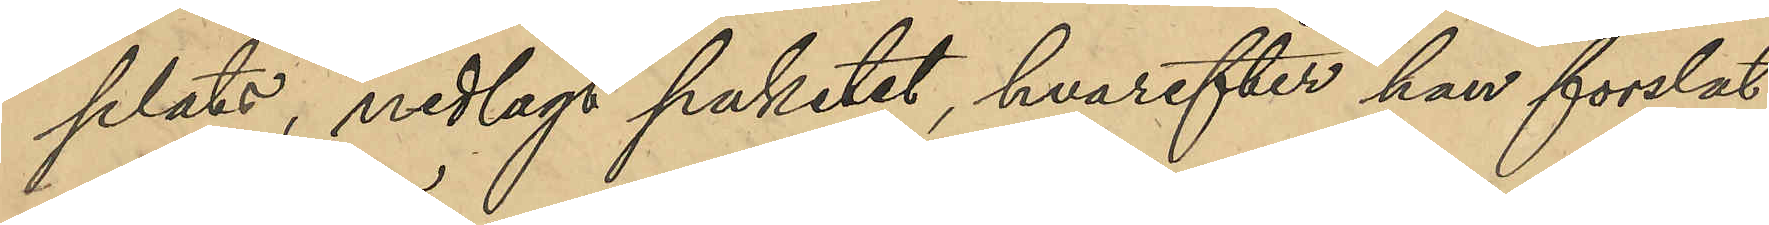plats, nedlagt paketet, hvarefter han forslat
